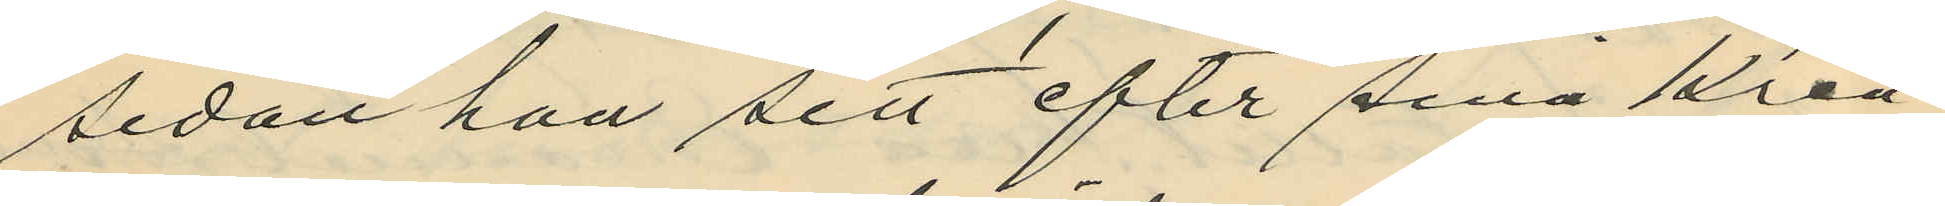sedan han sett efter sina krea¬
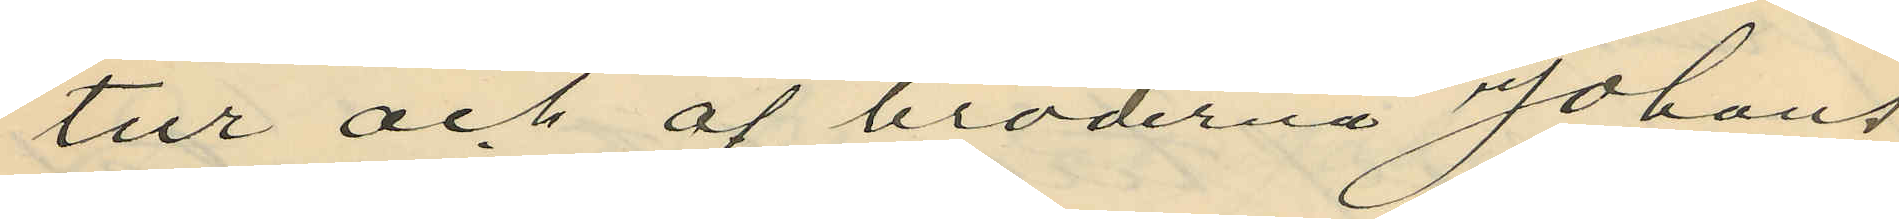tur och af bröderna Johans¬
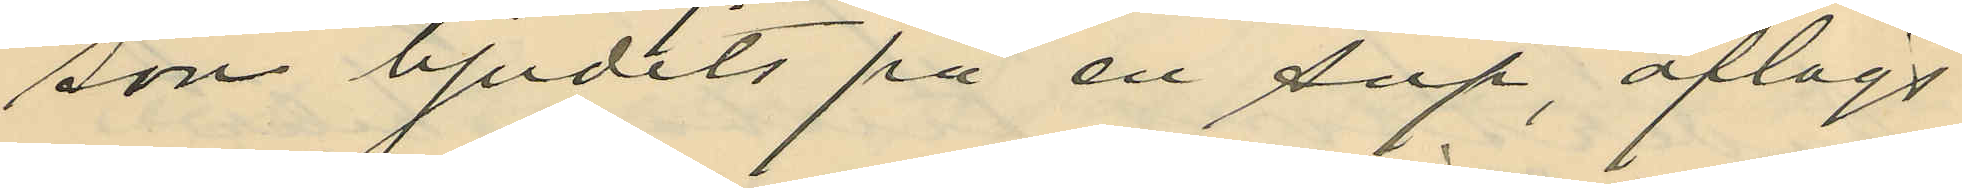son bjudits på en sup, aflägs¬
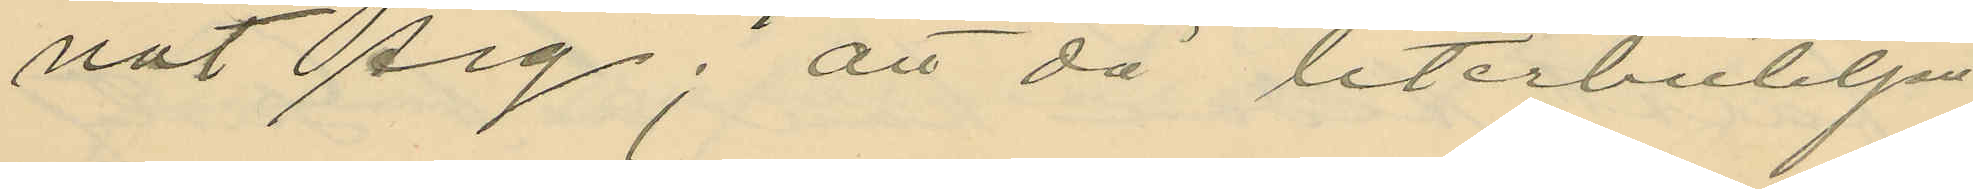nat sig; att då literbuteljen
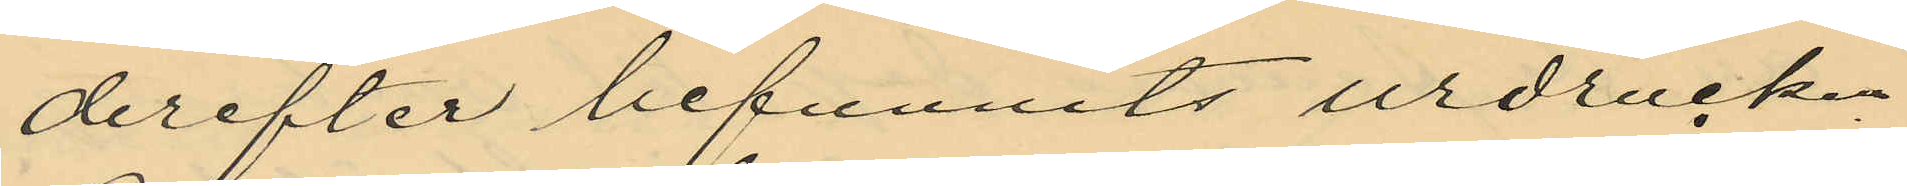derefter befunnits urdrucken
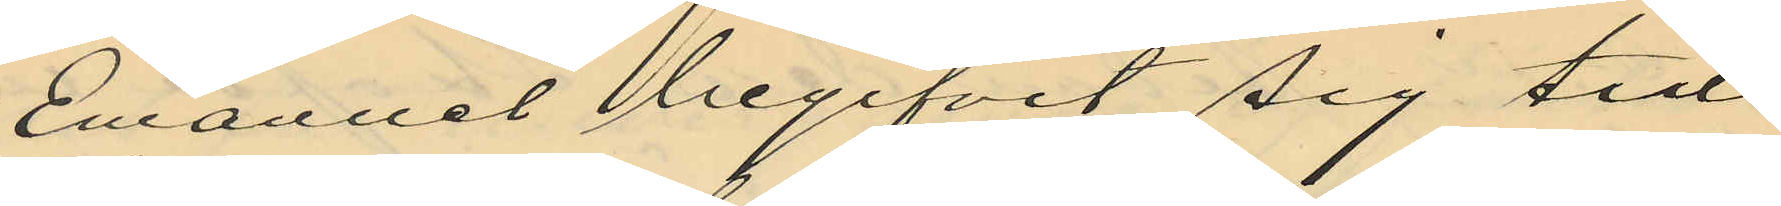Emanuel begifvit sig till
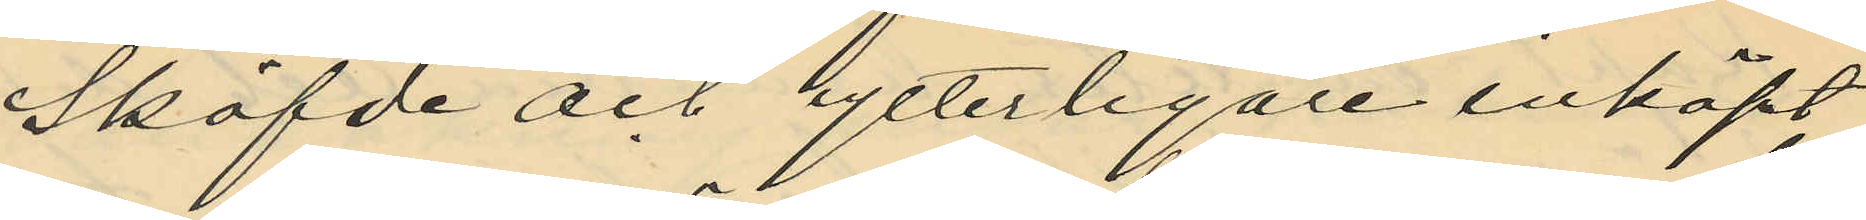Sköfde och ytterligare inköpt
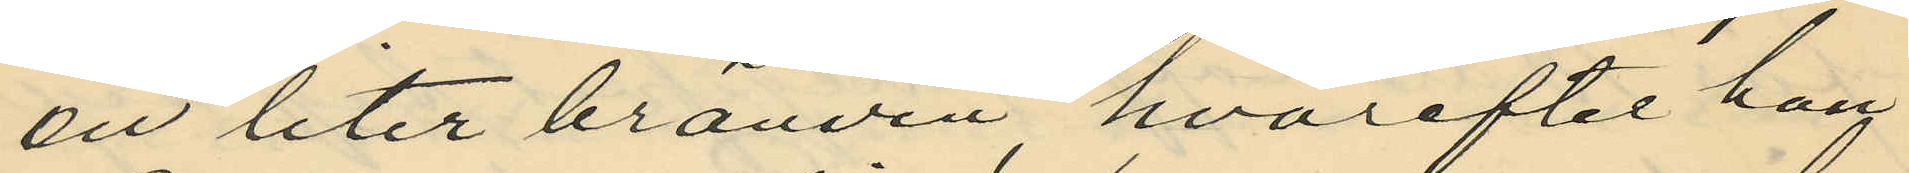en liter bränvin, hvarefter han
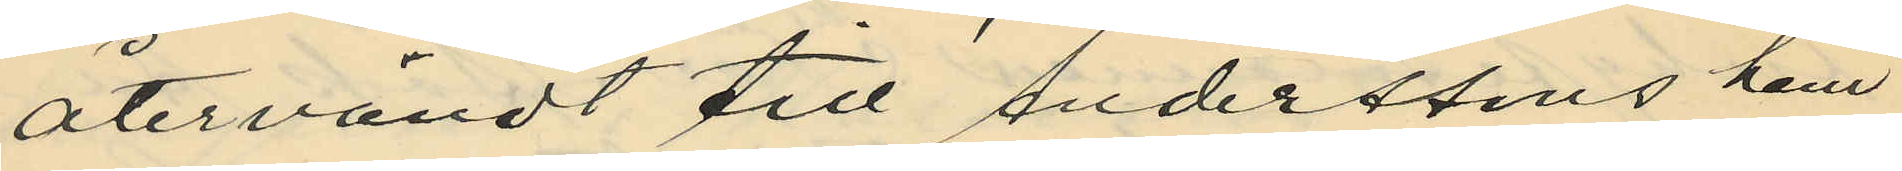återvändt till Anderssons hem
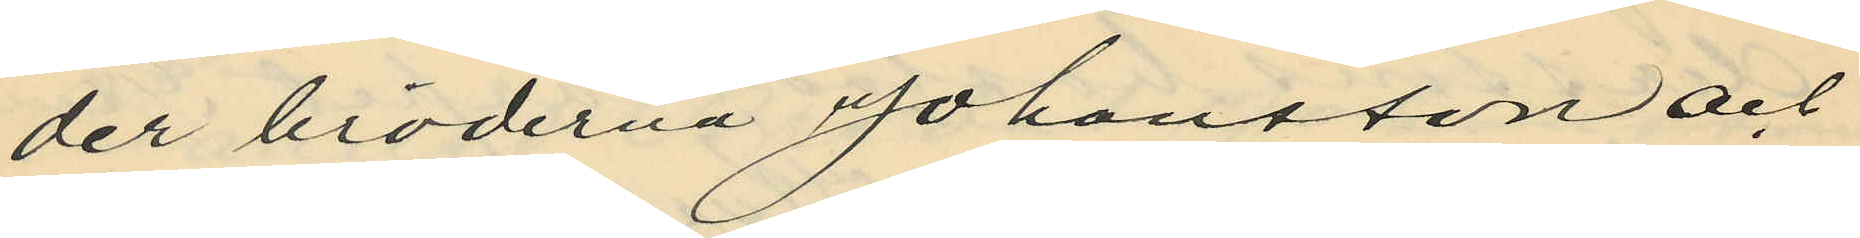der bröderna Johansson och
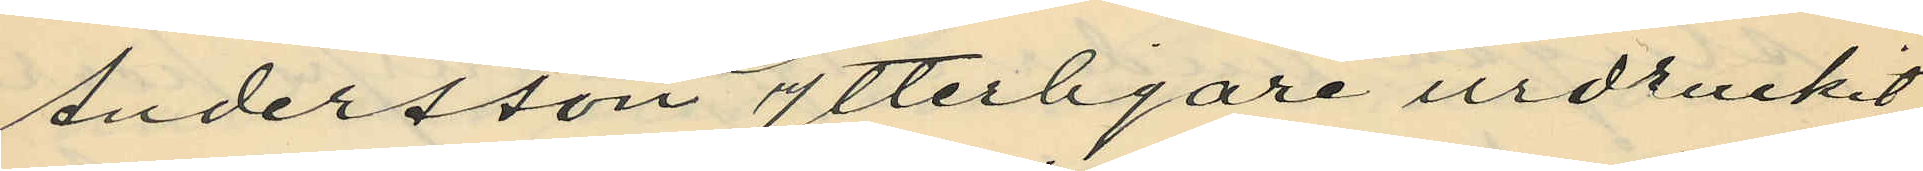Andersson ytterligare urdruckit
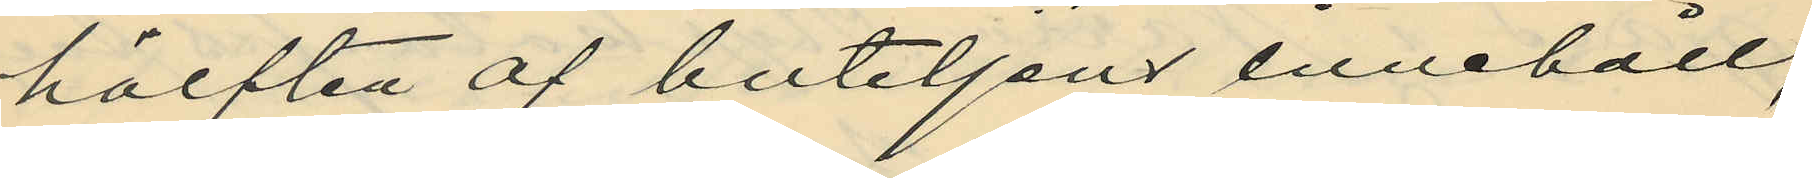hälften af buteljens innehåll,
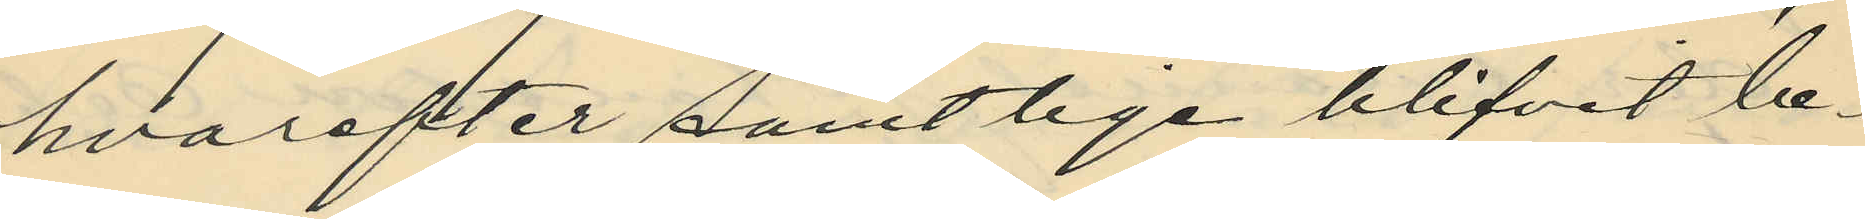hvarefter samtliga blifvit be¬
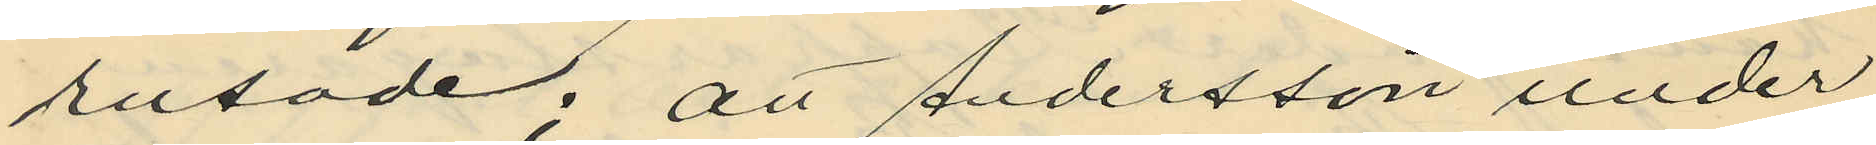rusade; att Andersson under
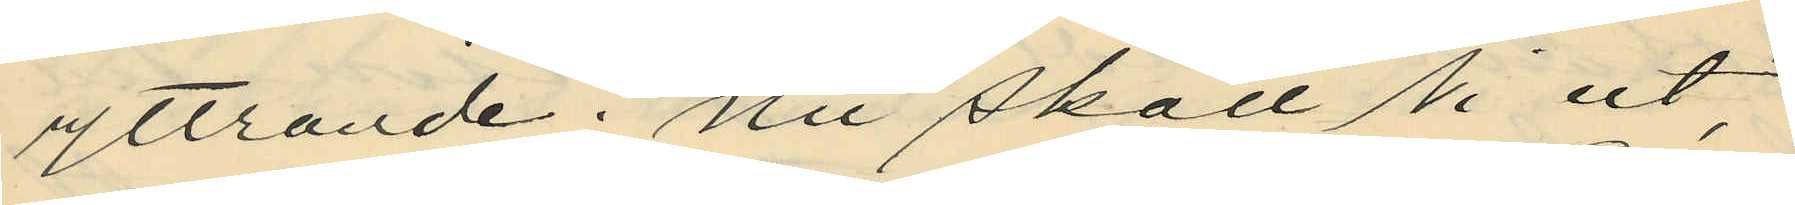yttrande: "nu skall ni ut",
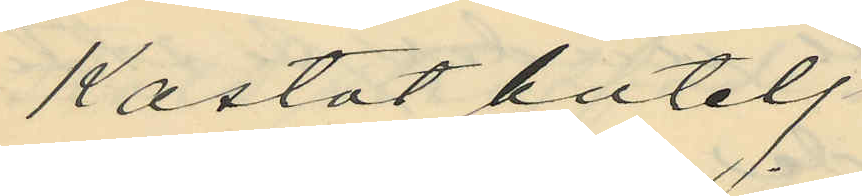kastat butelj¬
